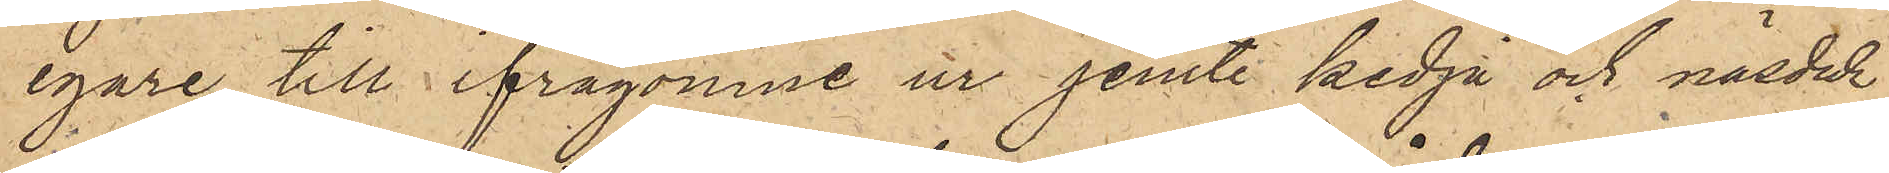egare till ifrågomne ur jemte kedja och näsduk
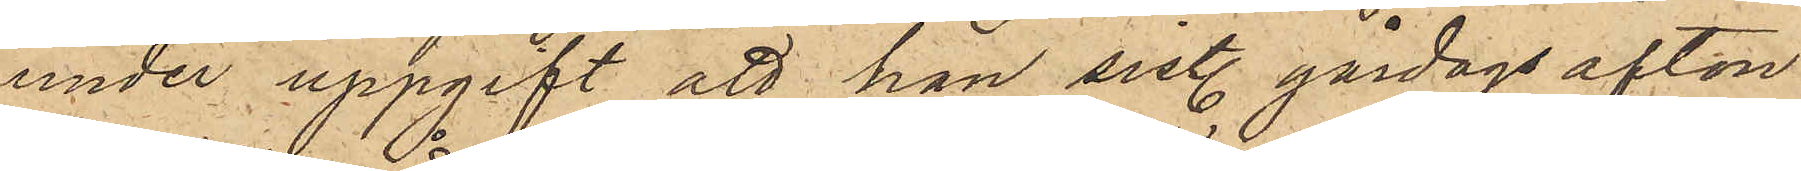under uppgift att han sist. gårdagsafton
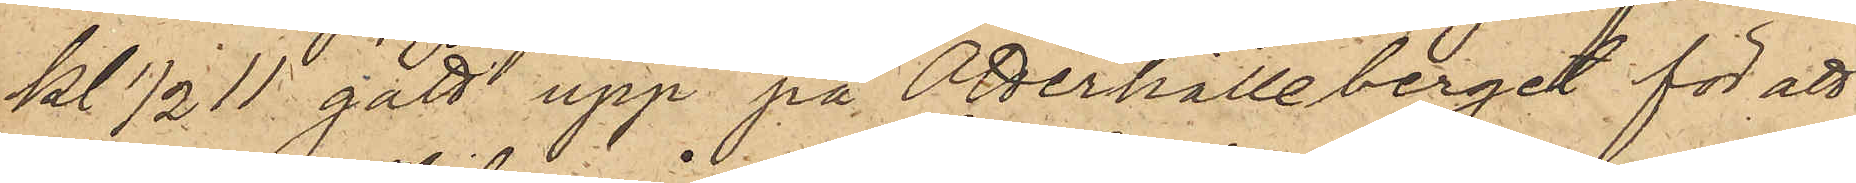kl ½11 gått upp på Otterhälleberget för att
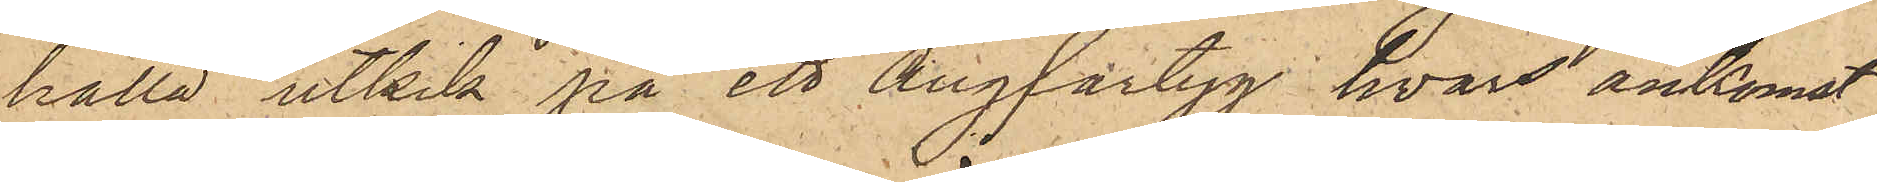hålla utkik på ett ångfartyg hvars ankomst
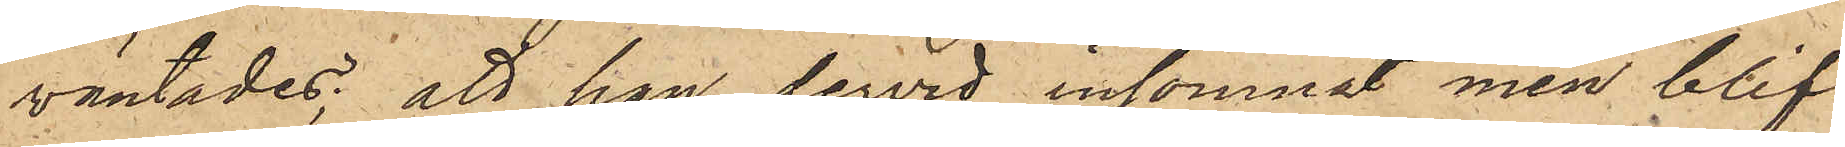väntades; att han dervid insomnat men blif¬
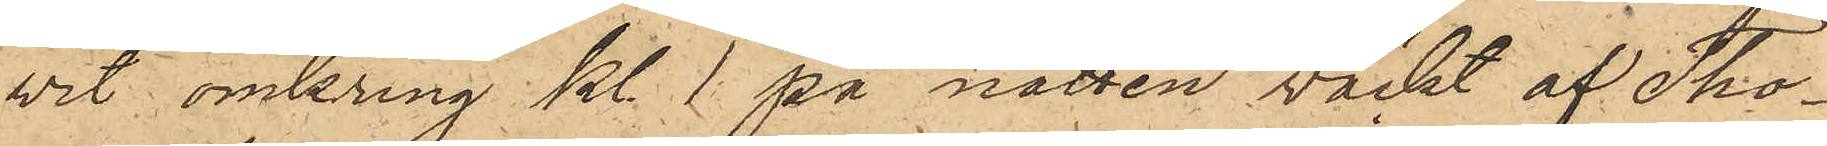vit omkring kl. 1 på natten väckt af Tho¬
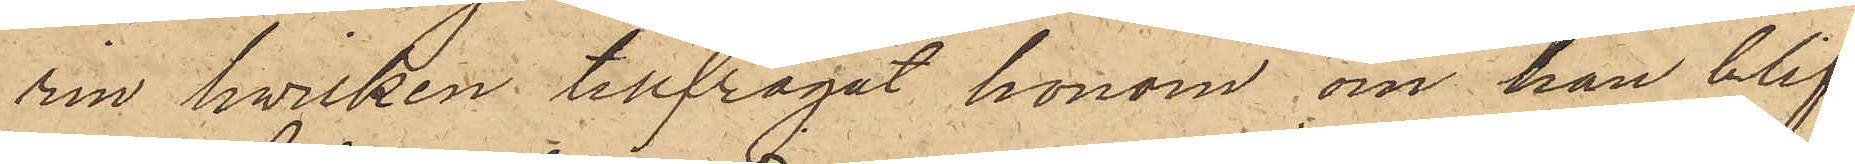rin, hvilken tillfrågat honom om han blif¬
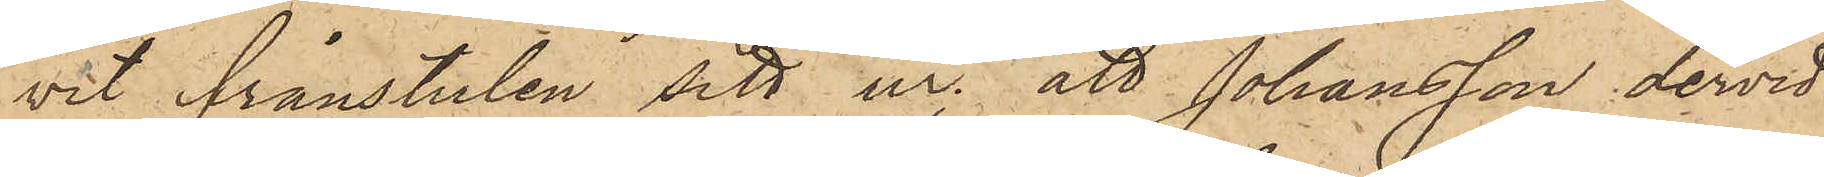vit frånstulen sitt ur; att Johansson dervid
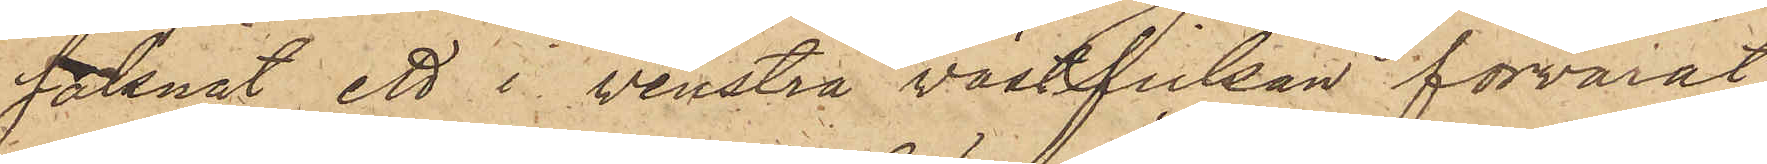saknat ett i venstra västfickan förvarat
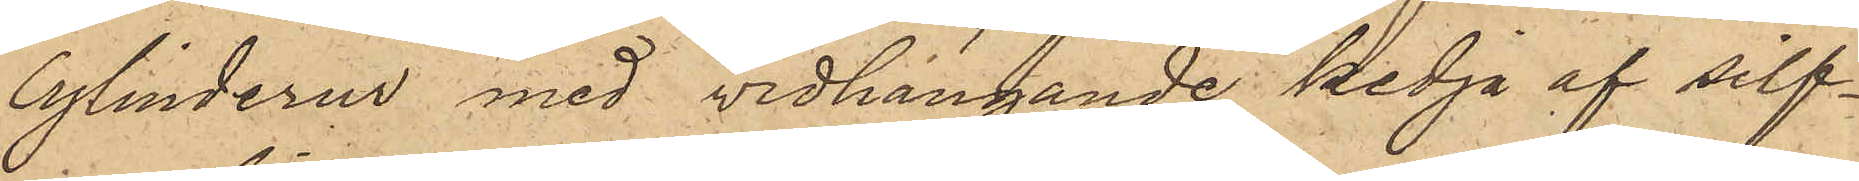cylinderur med vidhängande kedja af silf¬
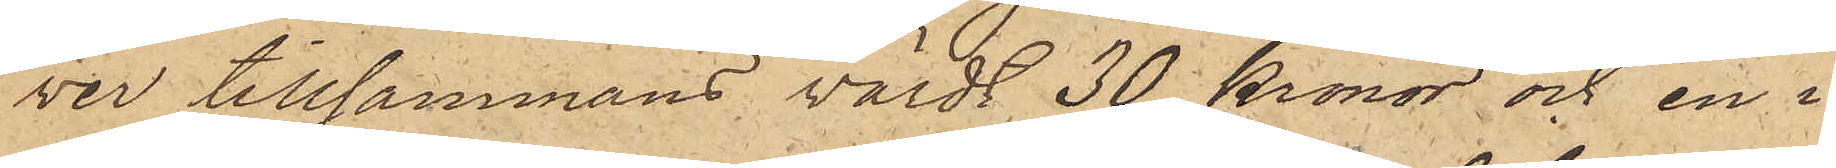ver tillsammans värdt 30 kronor och en i
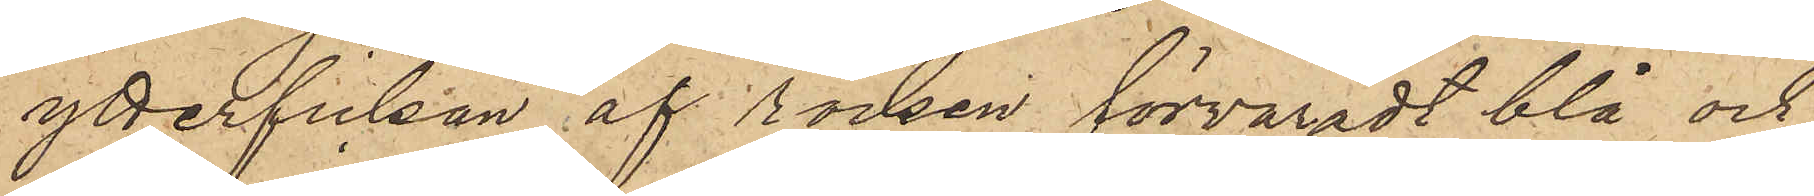ytterfickan af rocken förvaradt blå och
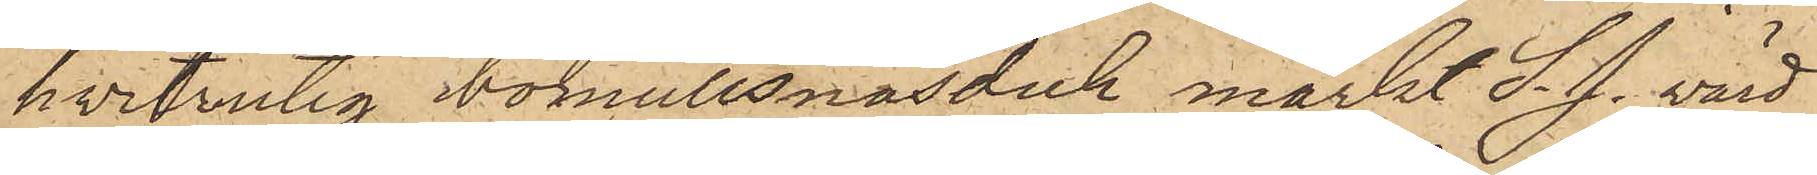hvitrutig bomullsnäsduk märkt S. J. värd
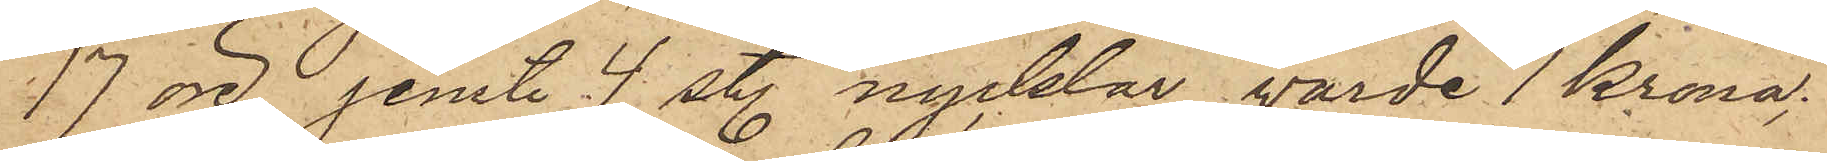17 öre, jemte 4 sty. nycklar, värde 1 Krona;
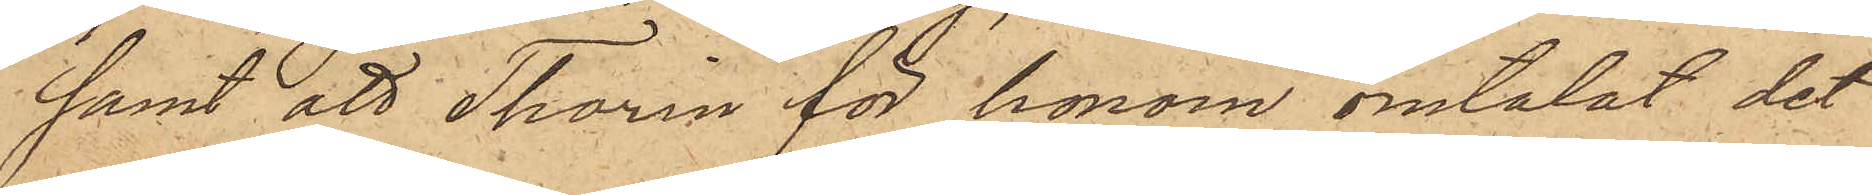samt att Thorin för honom omtalat det
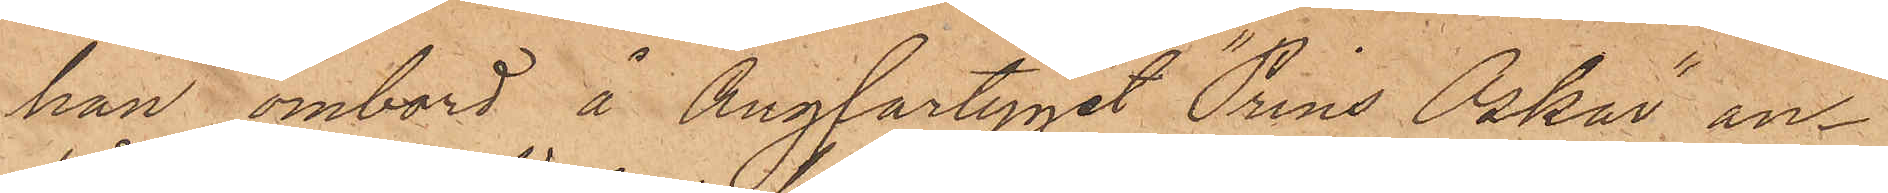han ombord å ångfartyget "Prins Oskar" an¬
